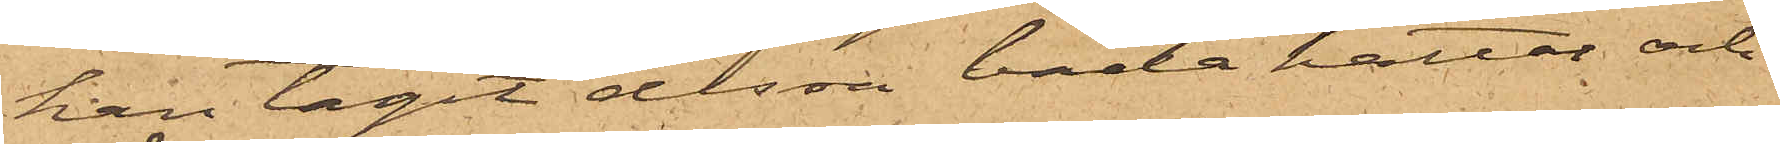han tagit dessa båda hattar och
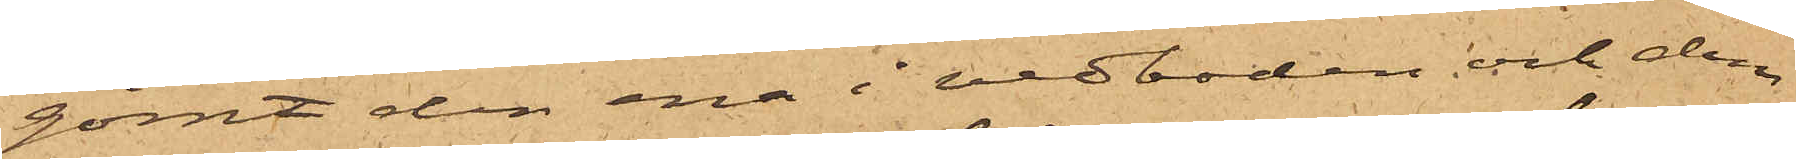gömt den ena i vedboden och den
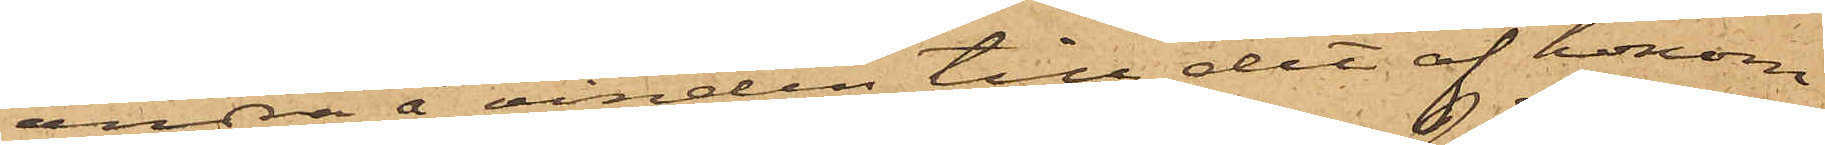andra å vinden till det af honom
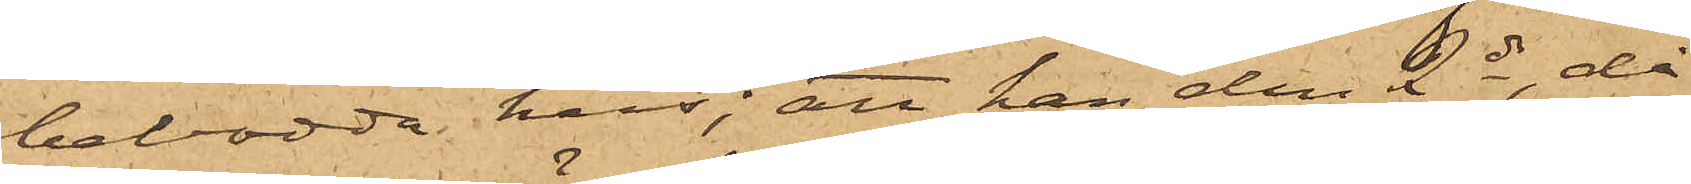bebodda hus; att han den 2 ds, då
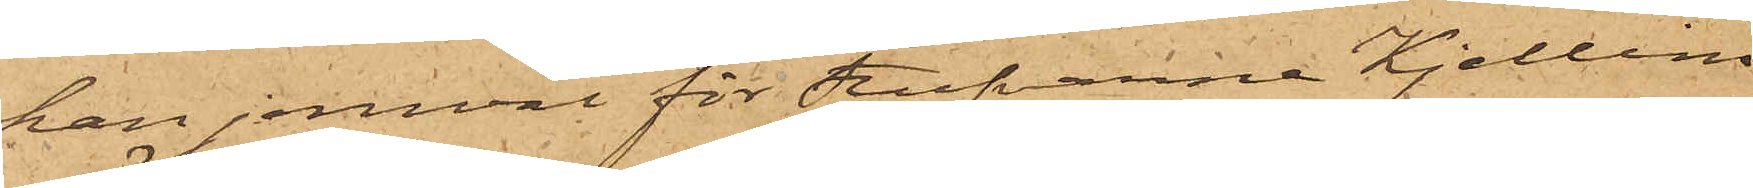han jemväl för Stufvarne Kjellins
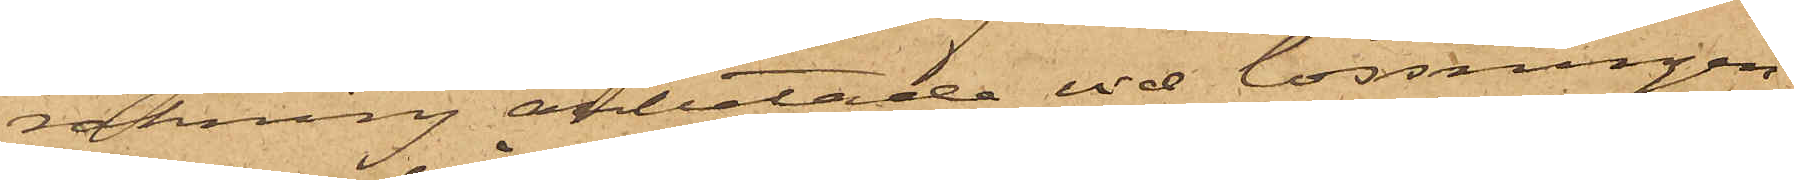räkning arbetade vid lossningen
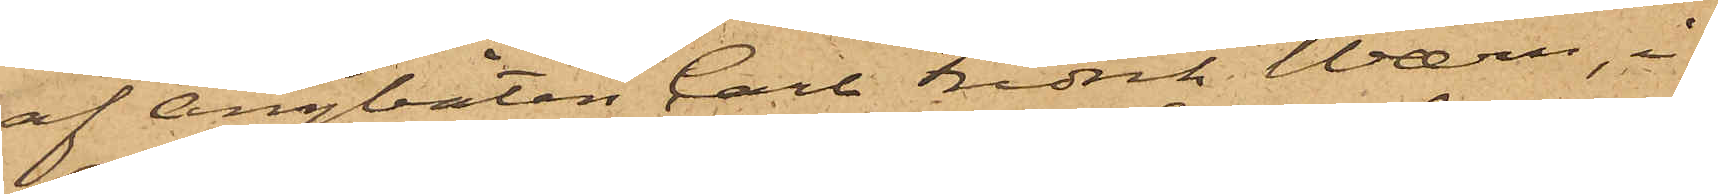af ångbåten Carl Fredrik Wærn, i
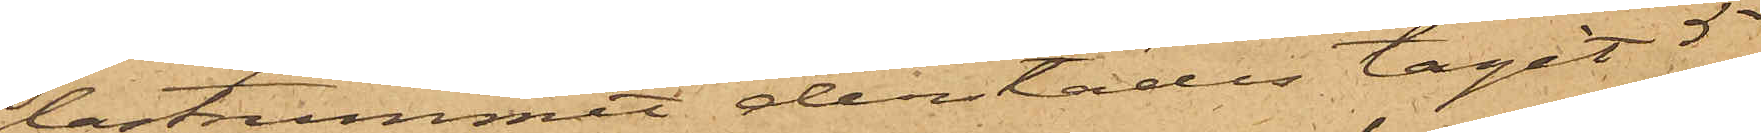lastrummet derstädes tagit 5
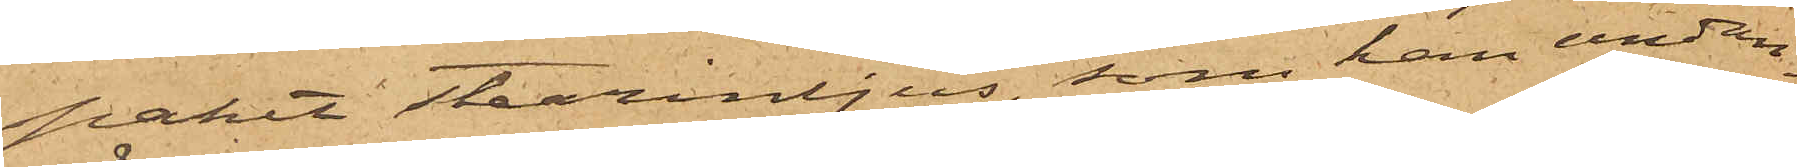paket stearinljus, som han undan¬
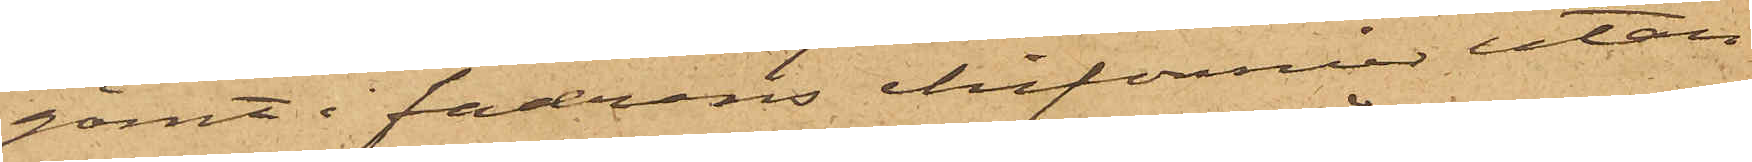gömt i fadrens chifonnier utan
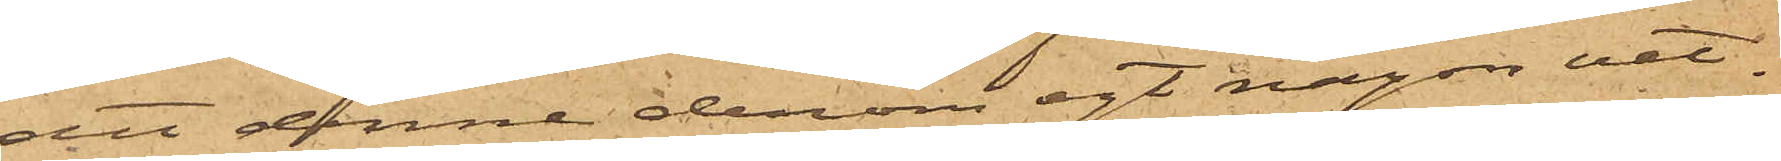att denne derom egt någon vet¬
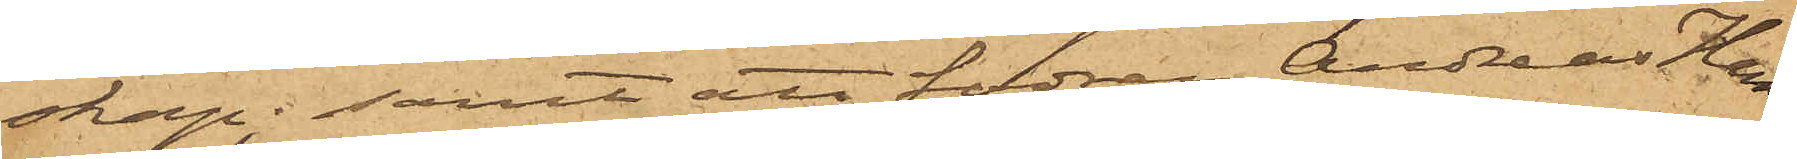skap; samt att fadren Andreas Hans¬
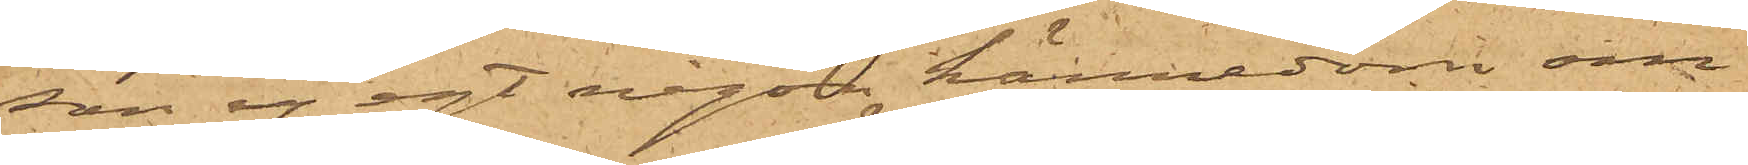son ej egt någon kännedom om
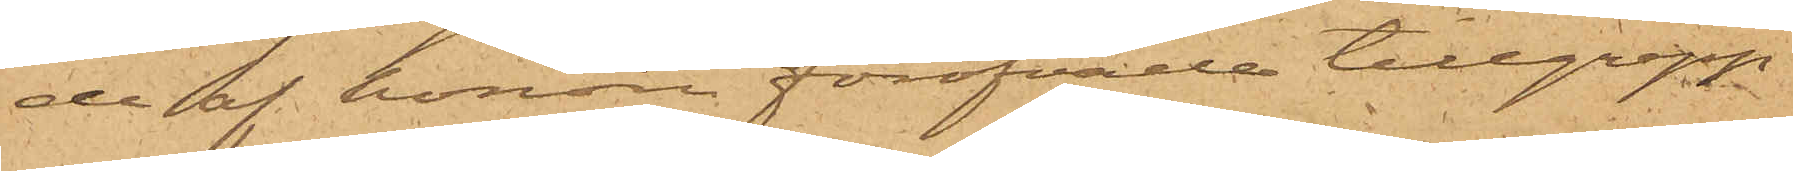de af honom föröfvade tillgrepp
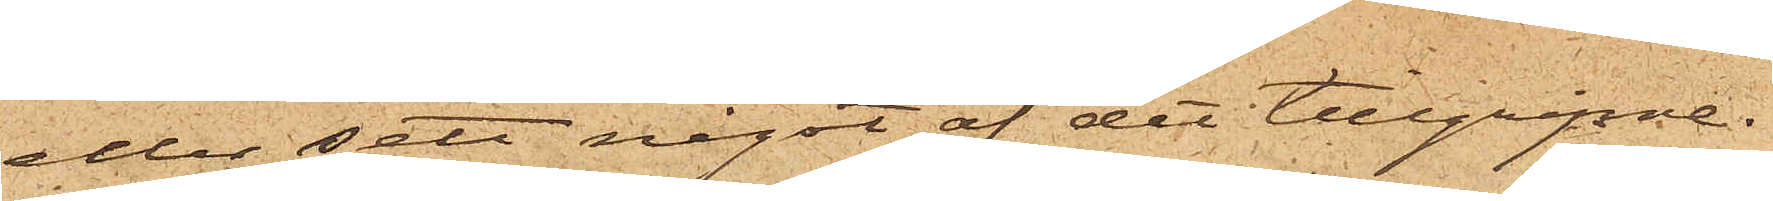eller sett något af det tillgripne.
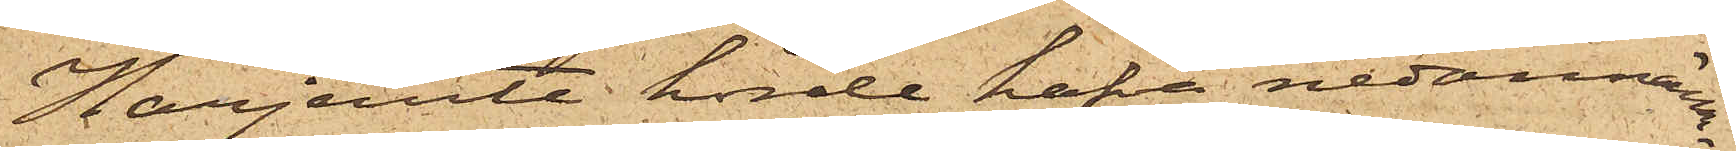Härjemte hörde hafva nedannämn¬
